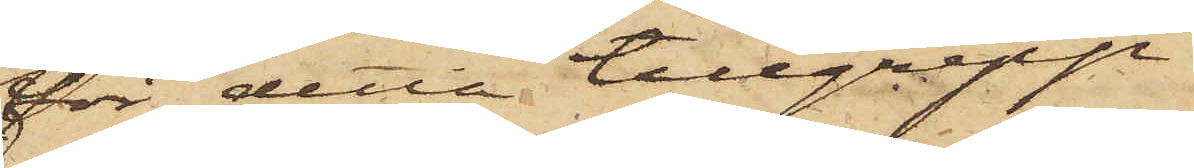för detta tillgrepp
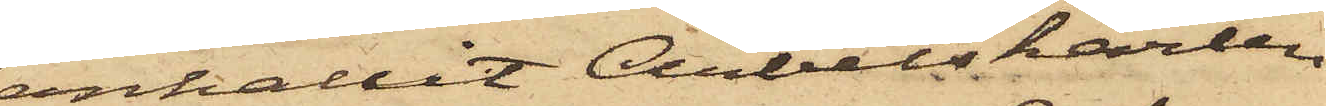anhållit Arbetskarlen
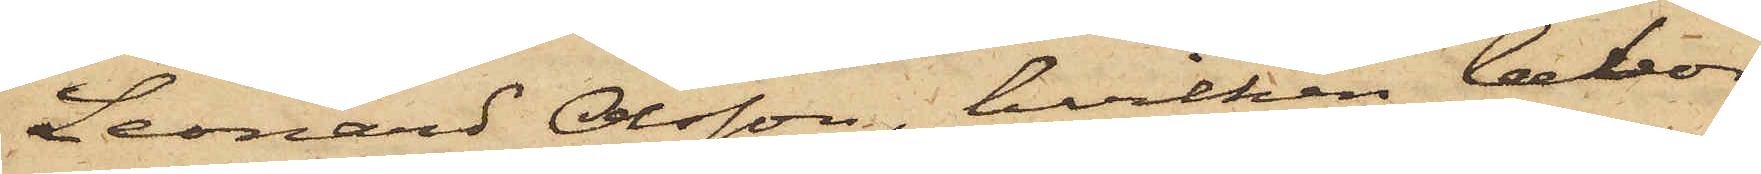Leonard Olsson, hvilken bebor
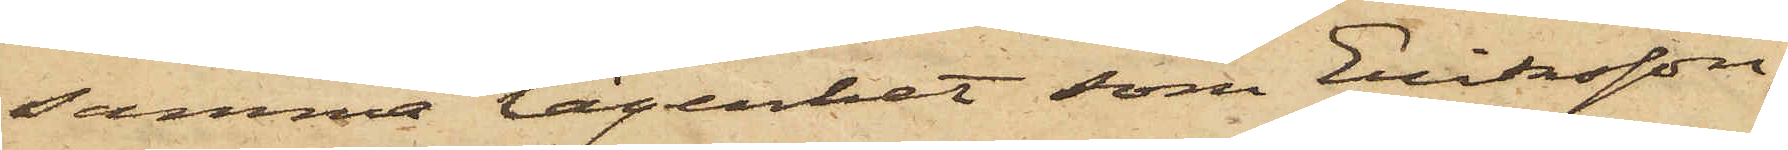samma lägenhet som Eriksson,
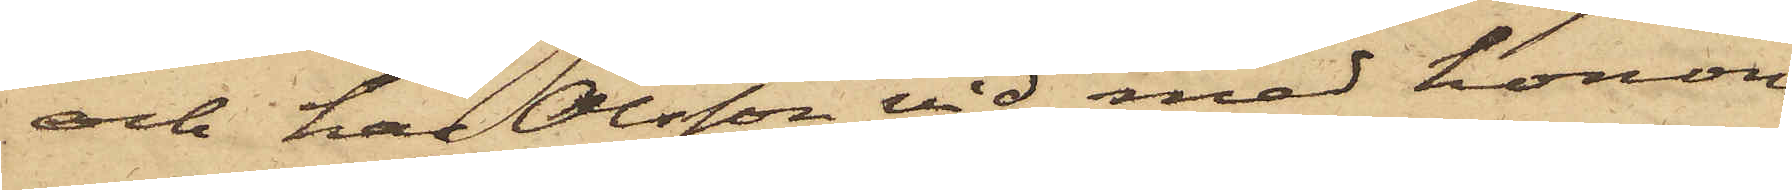och har Olsson vid med honom
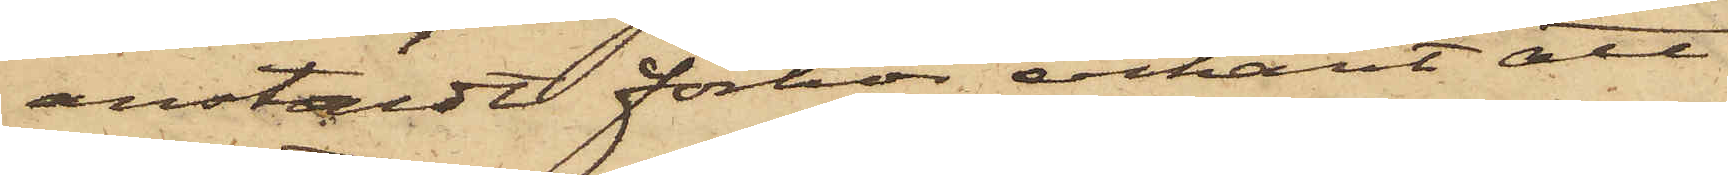anstäldt förhör erkänt att
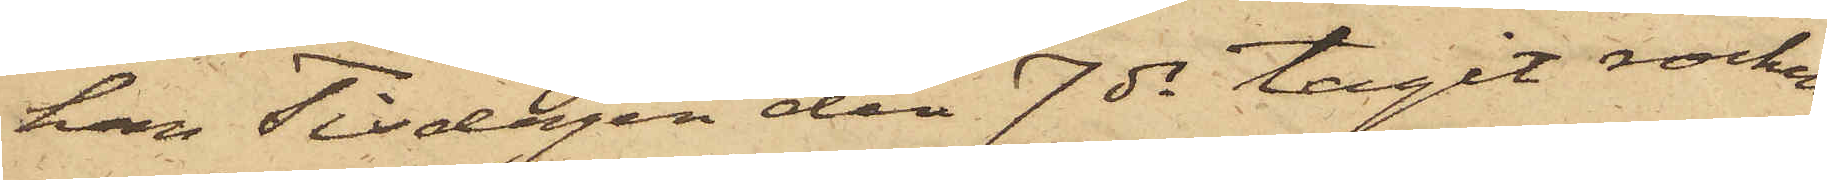han Tisdagen den 7 ds tagit rocken
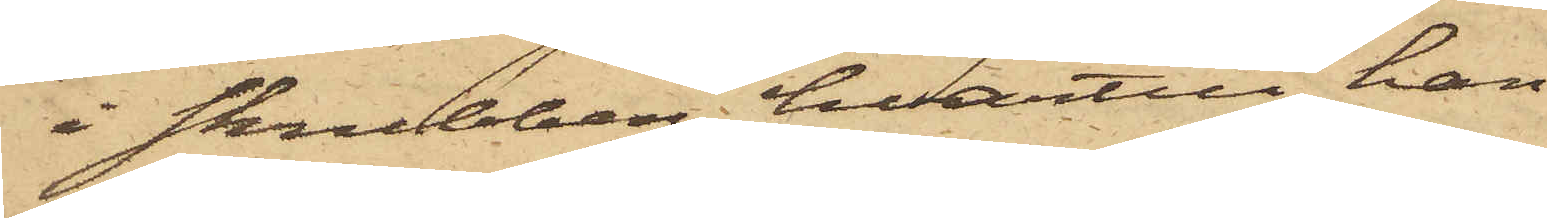i skrubben, hvartill han
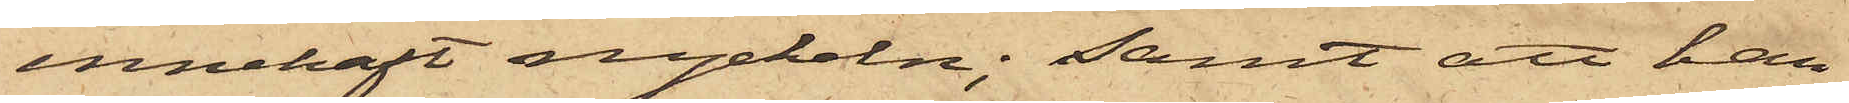innehaft nyckeln; samt att han
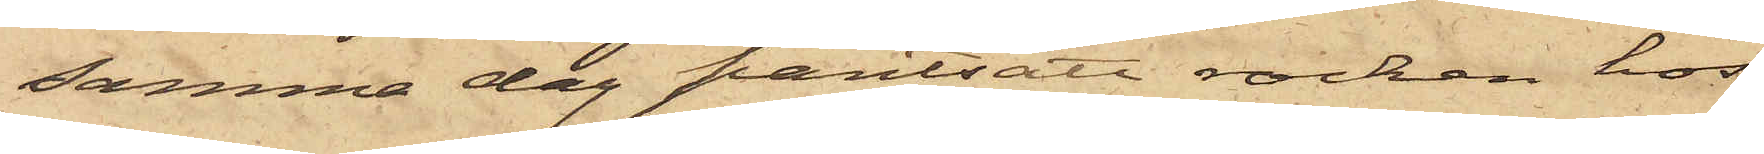samma dag pantsatt rocken hos
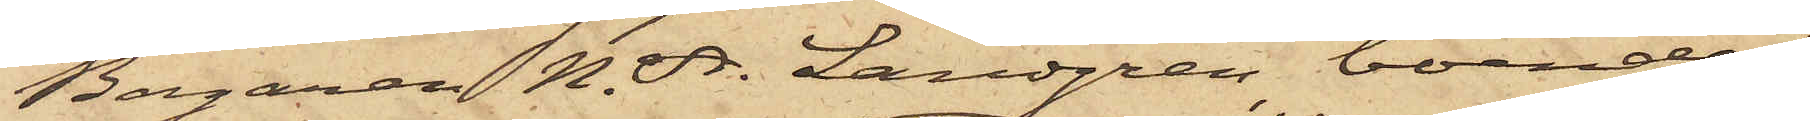Bagaren N. A. Landgren, boende i
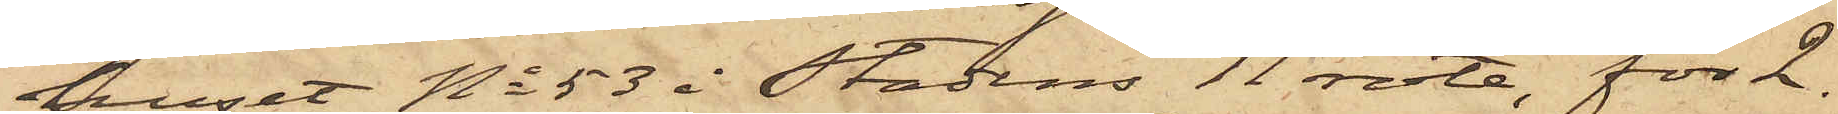huset No 53 i Stadens 11 rote, för 2.
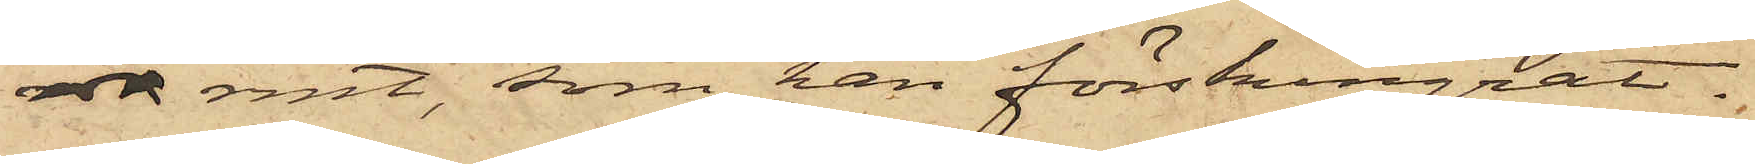rdr rmt, som han förskingrat.
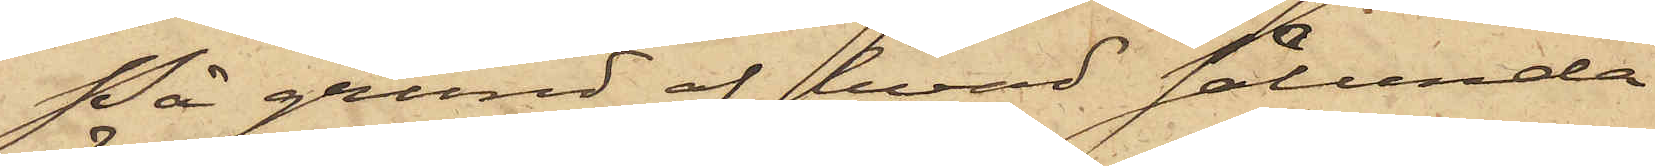På grund af hvad sålunda
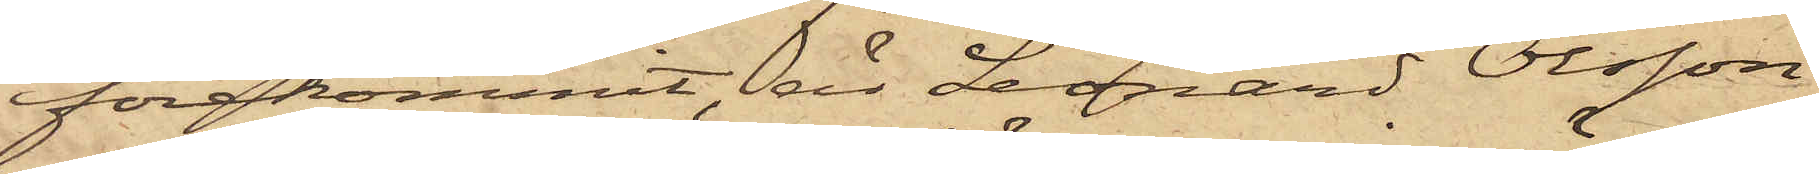förekommit, är Leonard Olsson
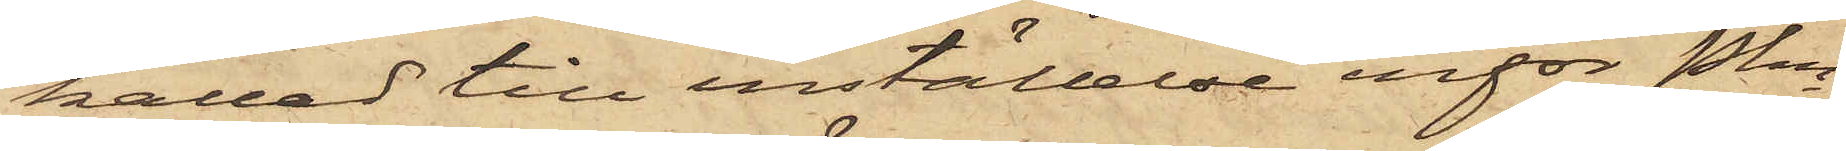kallad till inställelse inför Pkn
